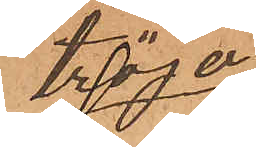tröja
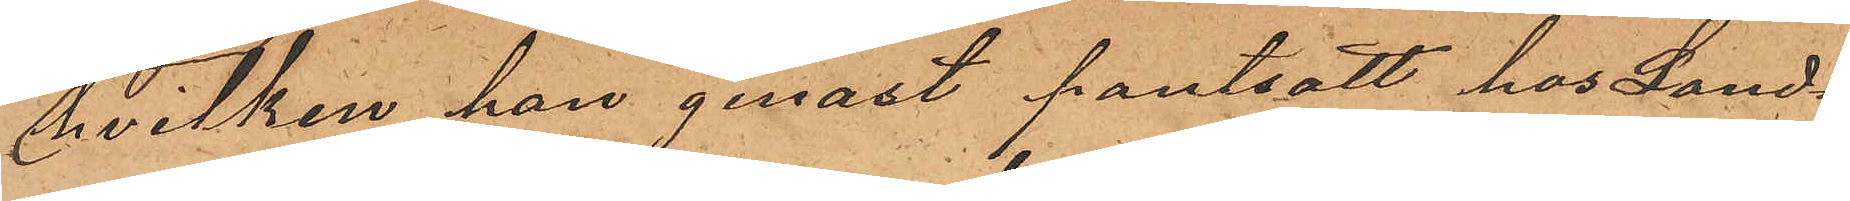hvilken han genast pantsatt hos Land¬
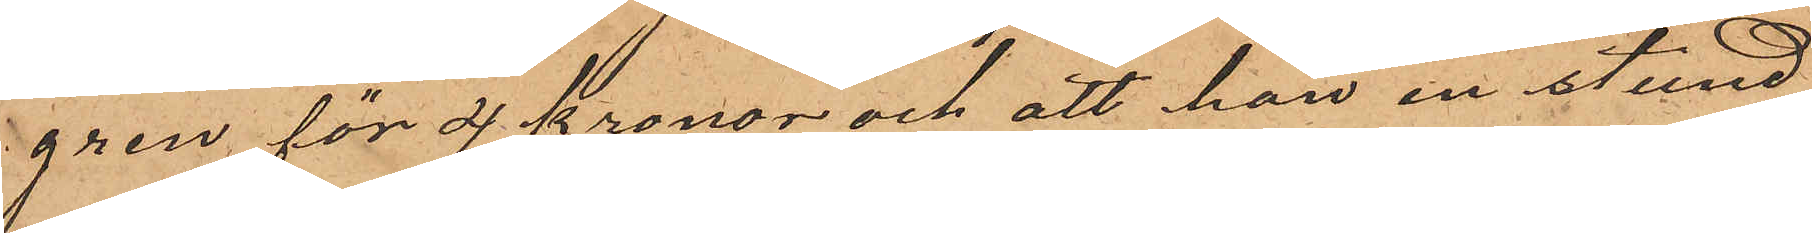gren för 4 kronor och att han en stund
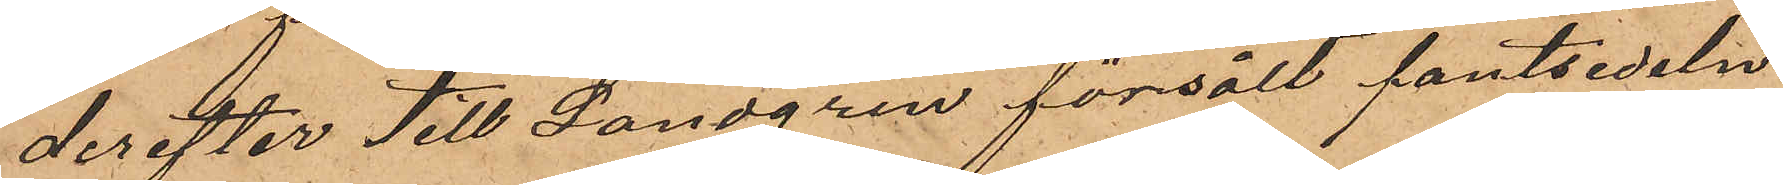derefter till Landgren försålt pantsedeln
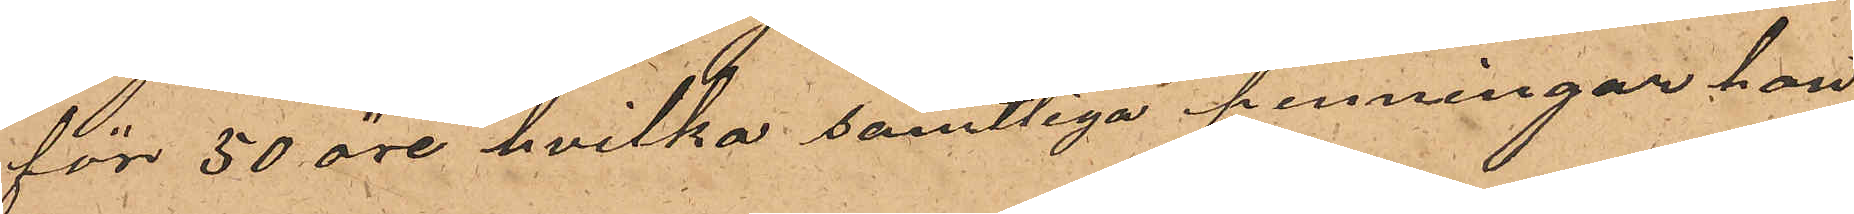för 50 öre, hvilka samtliga penningar han
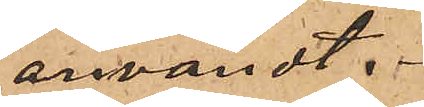användt.
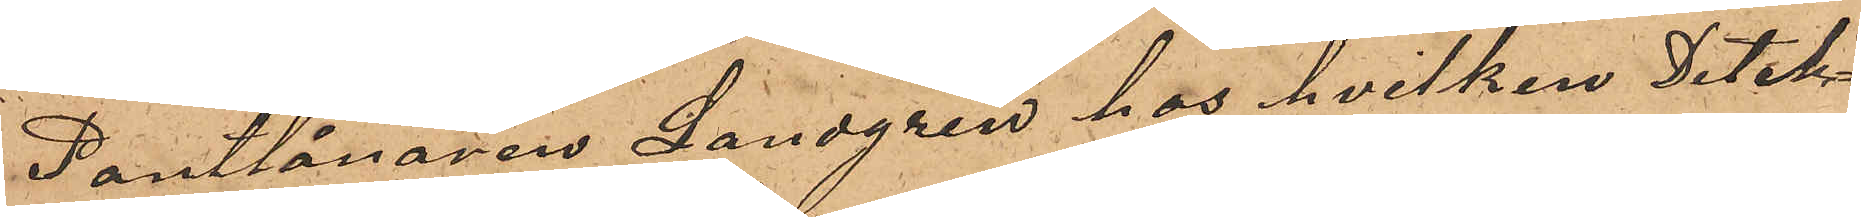Pantlånaren Landgren hos hvilken Detek¬
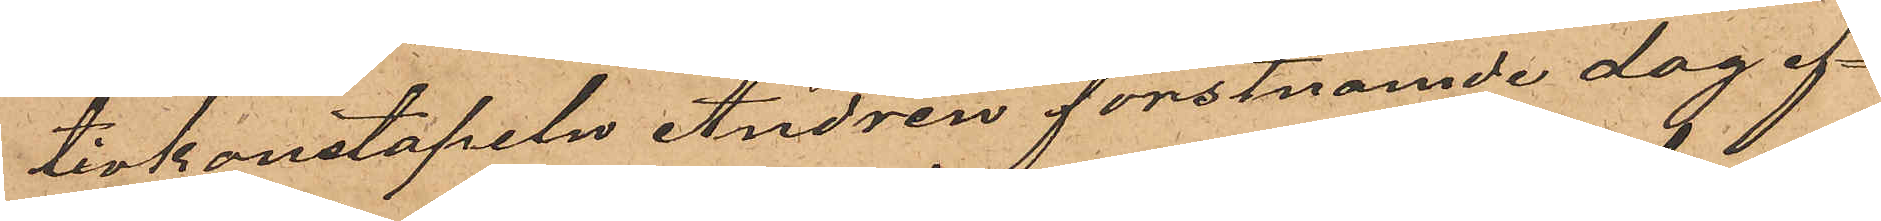tivkonstapeln Andrén förstnämde dag ef¬
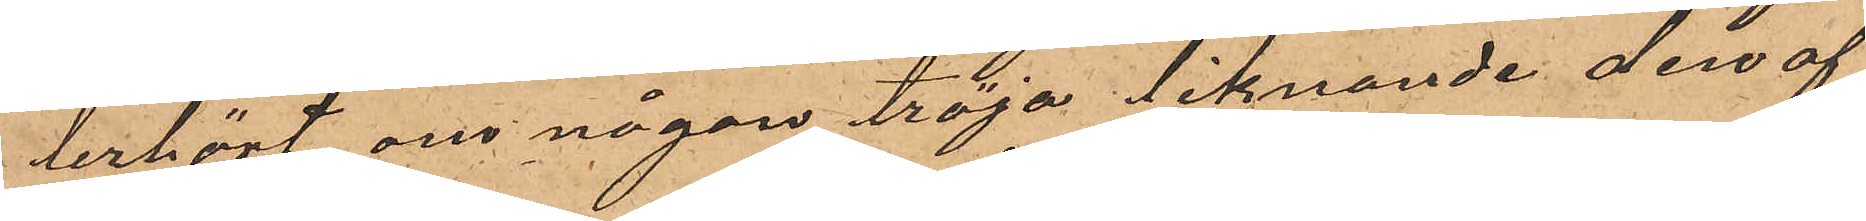derhört om någon tröja liknande den af
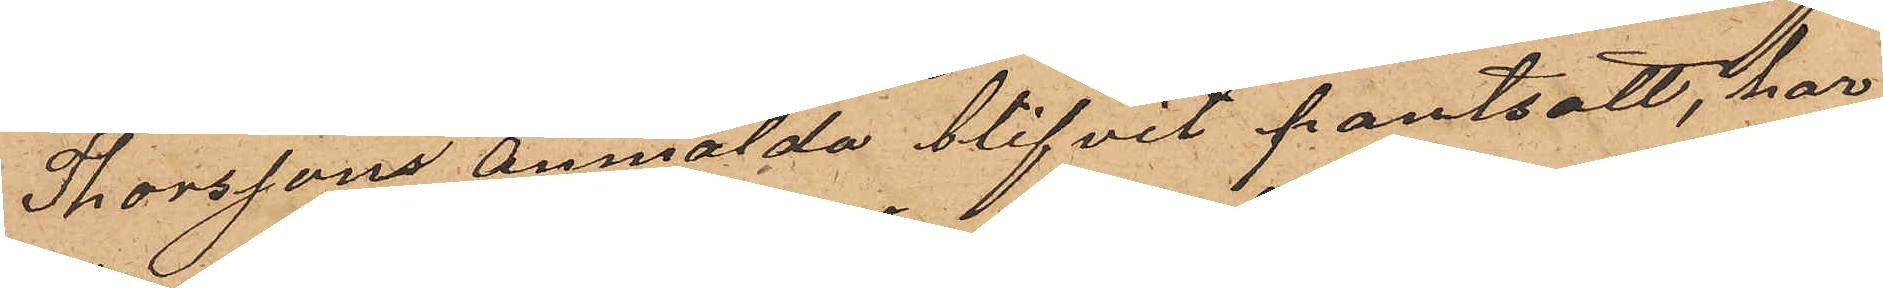Thorsson anmälda blifvit pantsatt, har
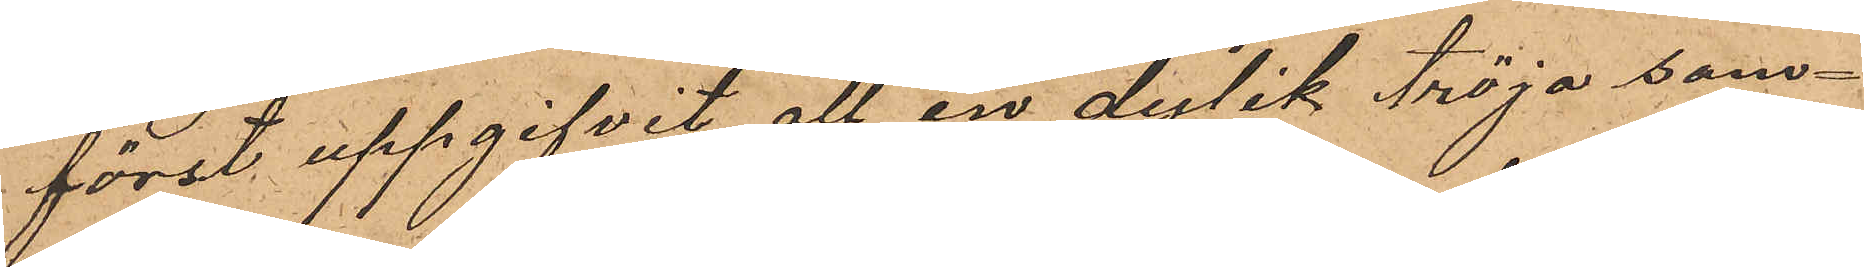först uppgifvit att en dylik tröja sam¬
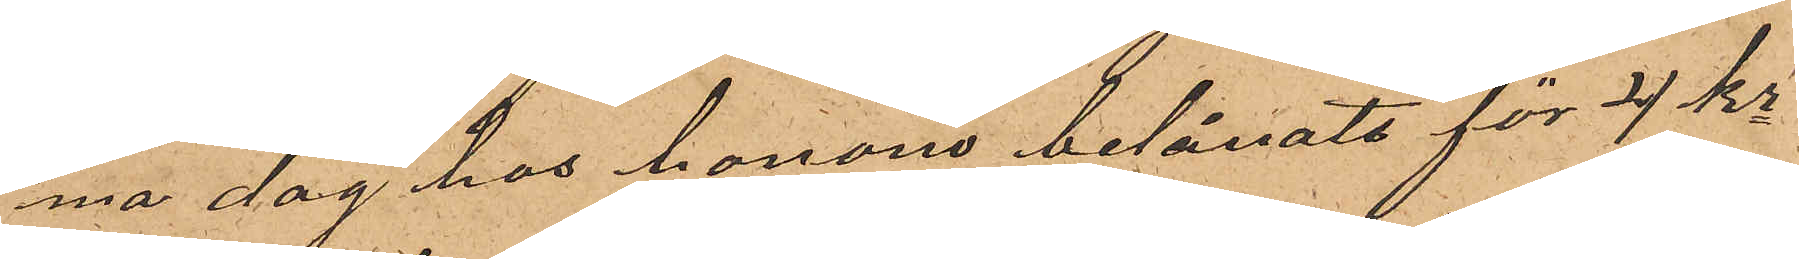ma dag hos honom belånats för 4 kr
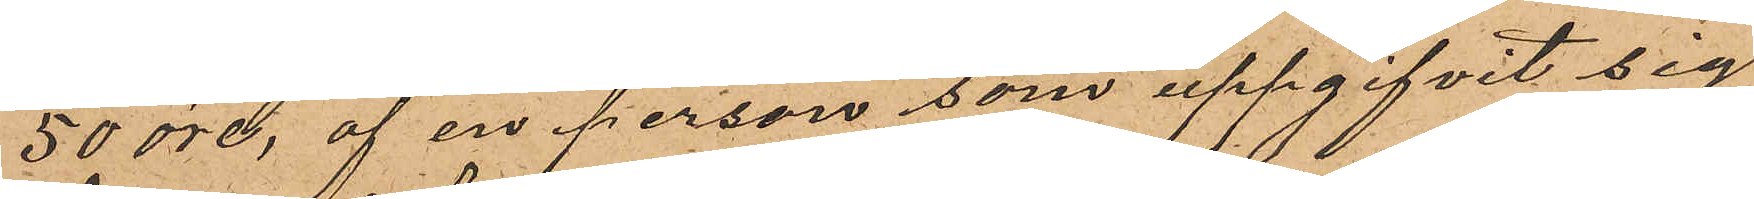50 öre, af en person som uppgifvit sig
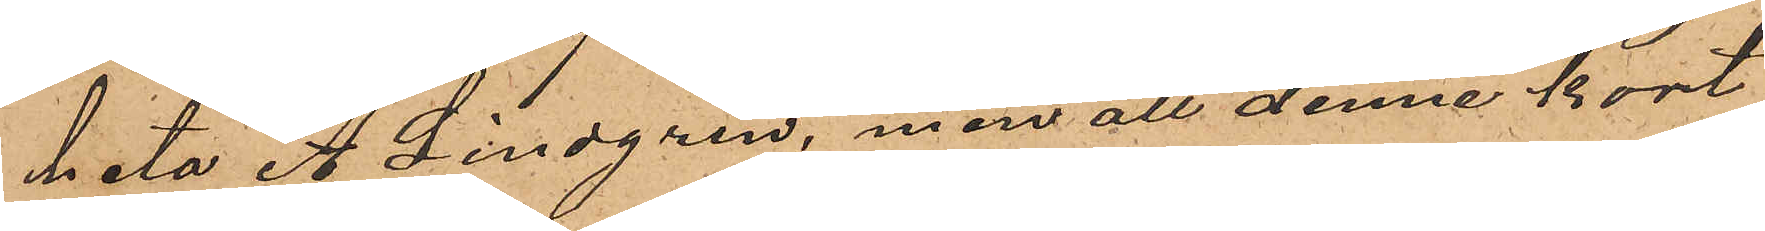heta A. Lindgren, men att denne kort
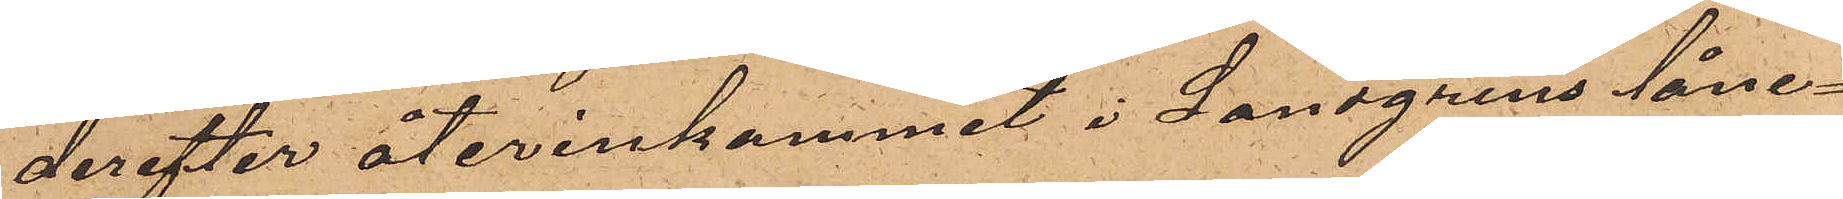derefter återinkommit i Landgrens låne¬
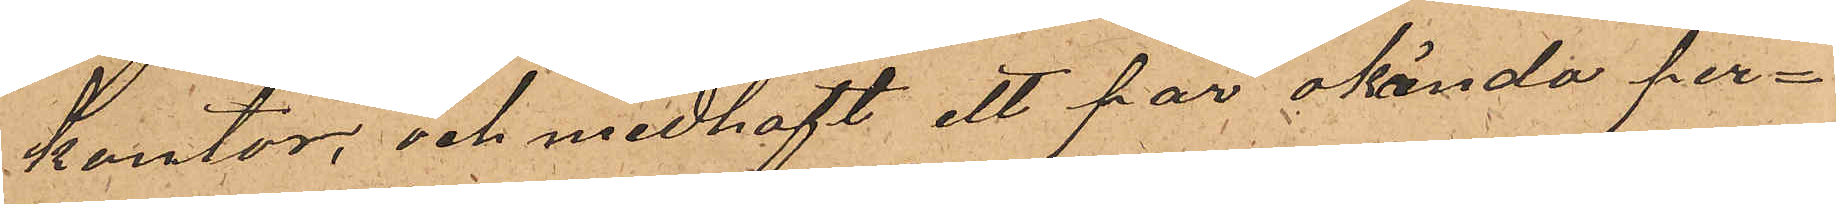kontor, och medhaft ett par okända per¬
